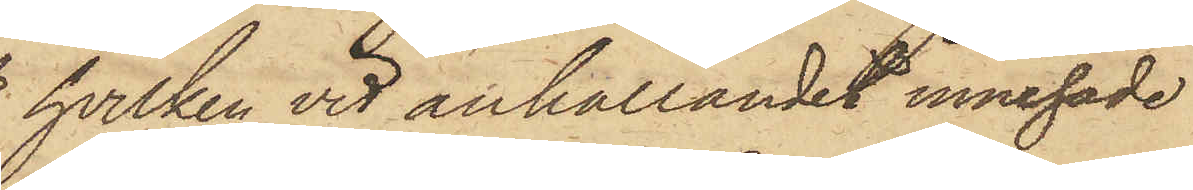hvilken vid anhållandet innehade
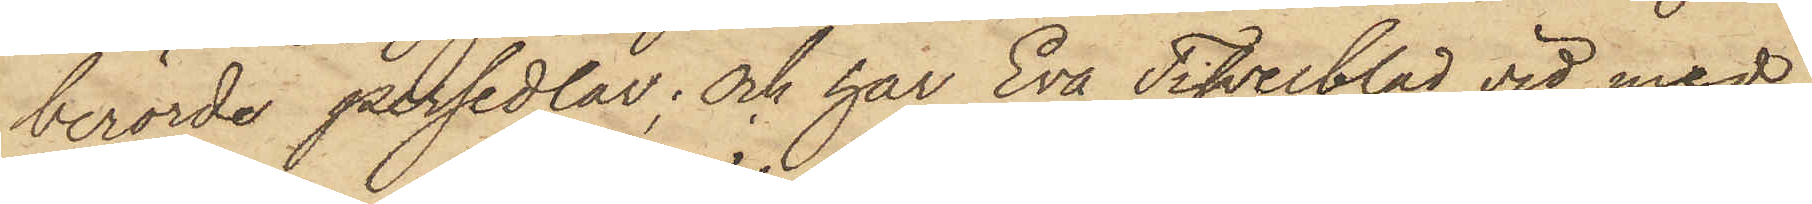berörde persedlar; och har Eva Tifvelblad vid med
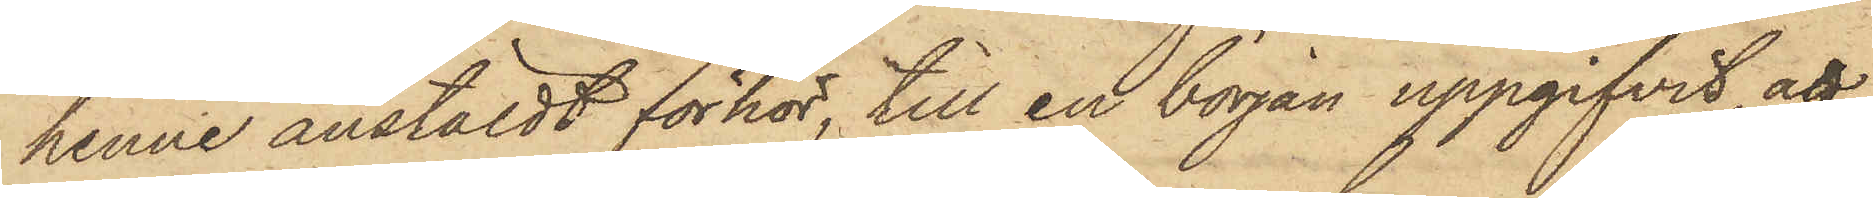henne anstäldt förhör, till en början uppgifvit, att
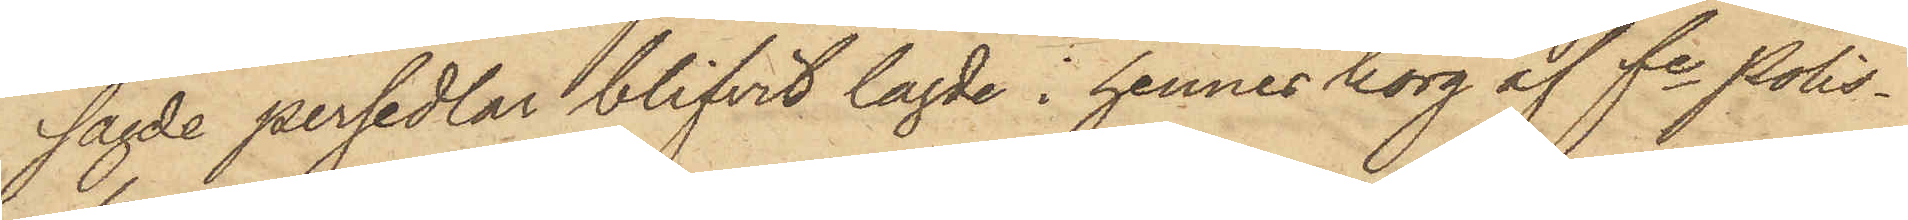sagde persedlar blifvit lagde i hennes korg af fe Polis¬
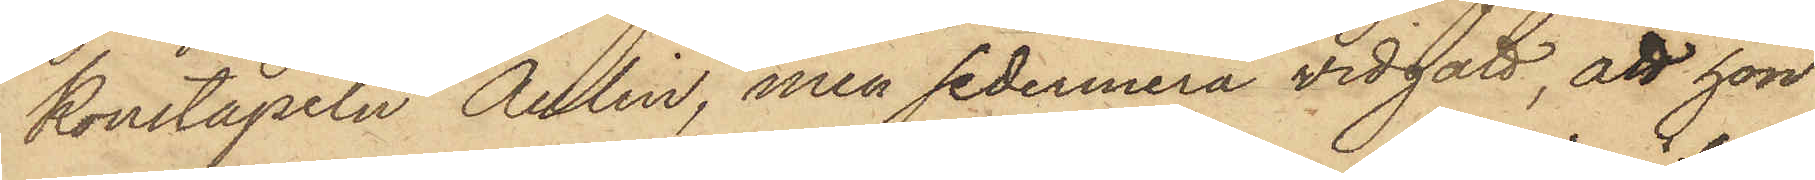konstapeln Aulin, men sedermera vidgått, att hon
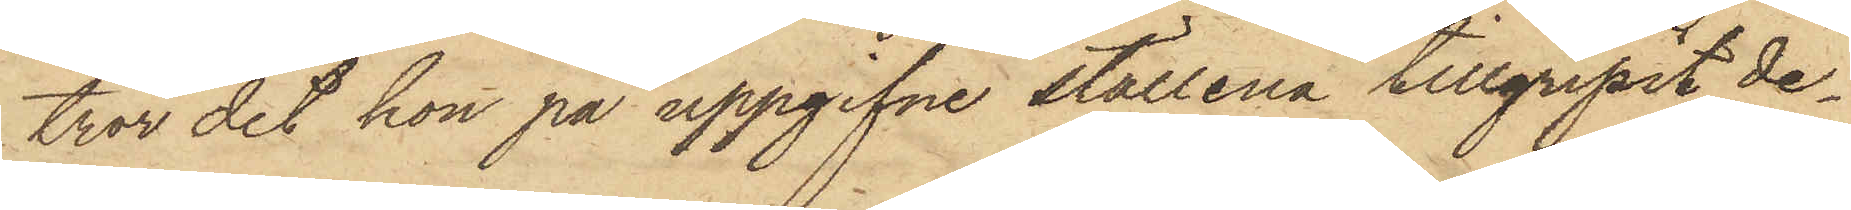tror det hon på uppgifne ställena tillgripit de¬
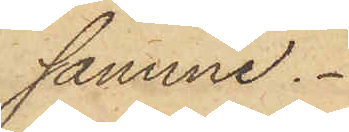samme.
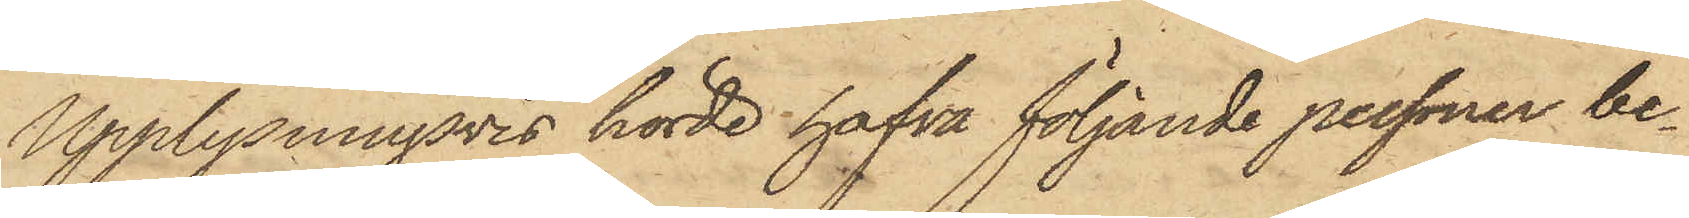Upplysningsvis hörde hafva följande personer be¬
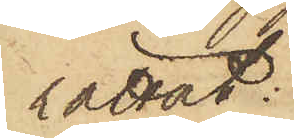rättat:
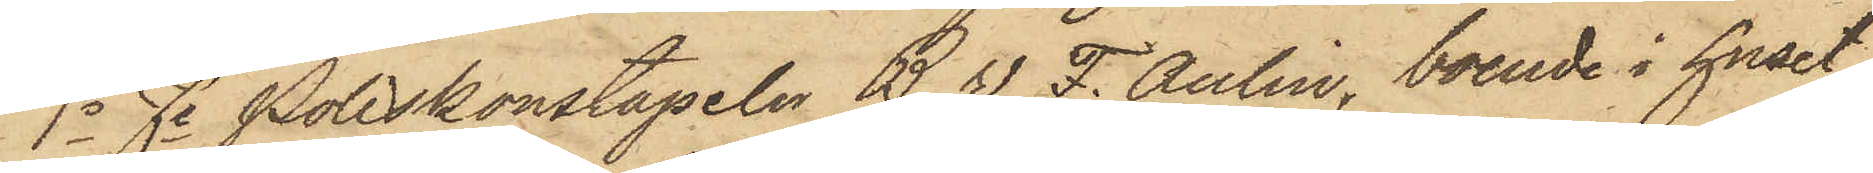1o Fe Poliskonstapeln B. W. F. Aulin, boende i huset
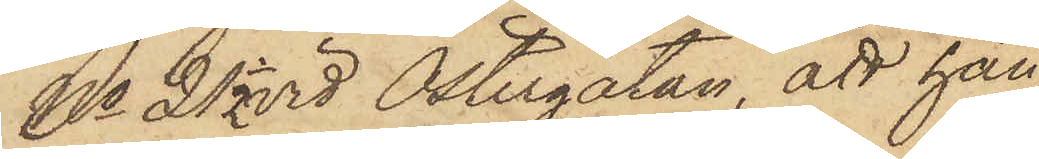No 21 1/2 vid Östergatan, att han
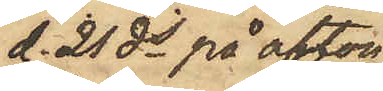d. 21 ds på afton
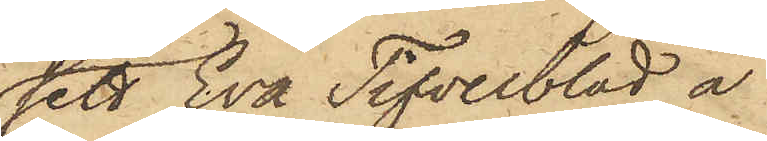sett Eva Tifvelblad å
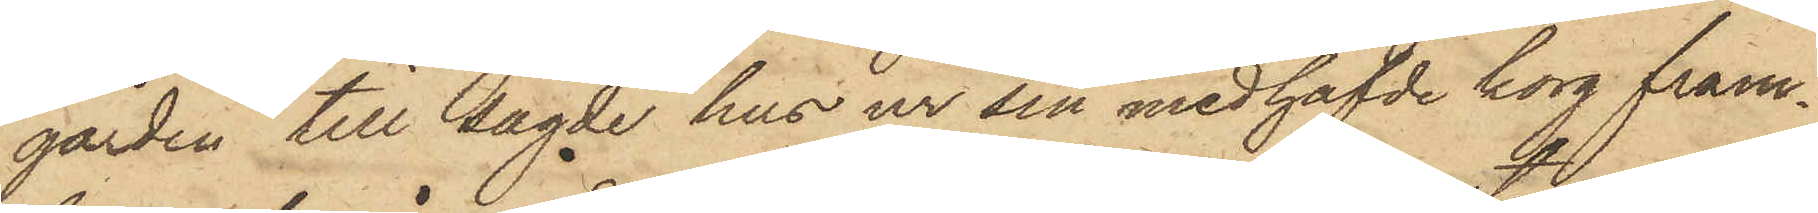gården till sagde hus ur sin medhafvde korg fram¬
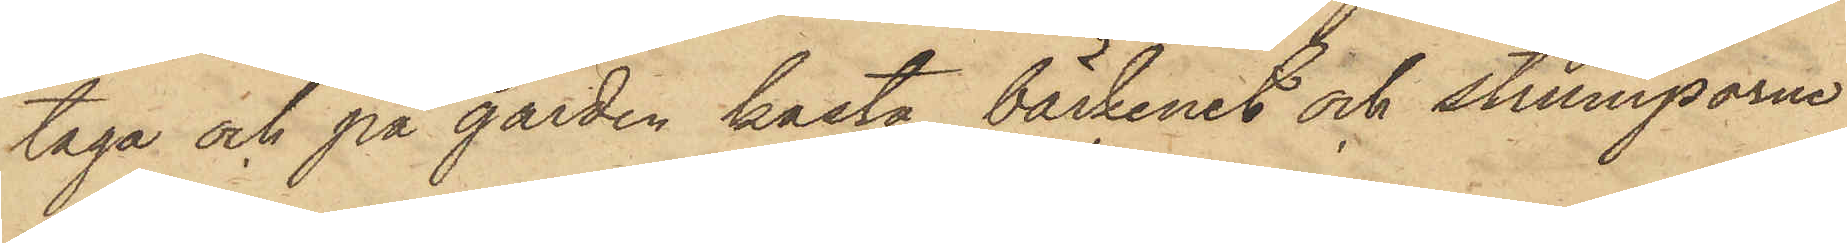taga och på gården kasta bäckenet och strumporne
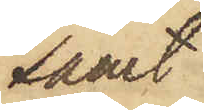samt
